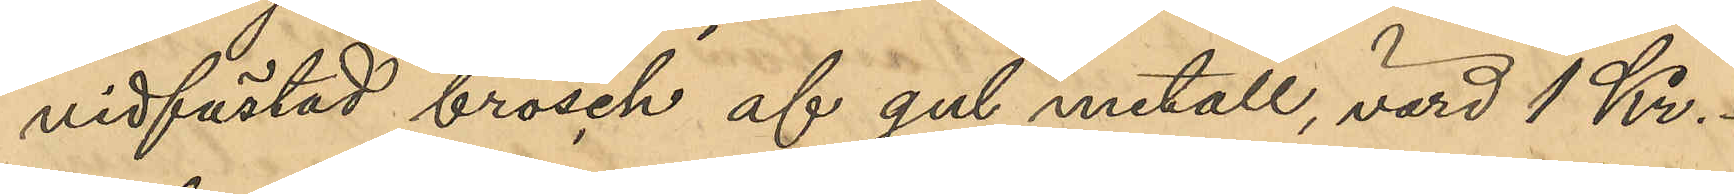vidfästad brosch af gul metall, värd 1 Kr.;
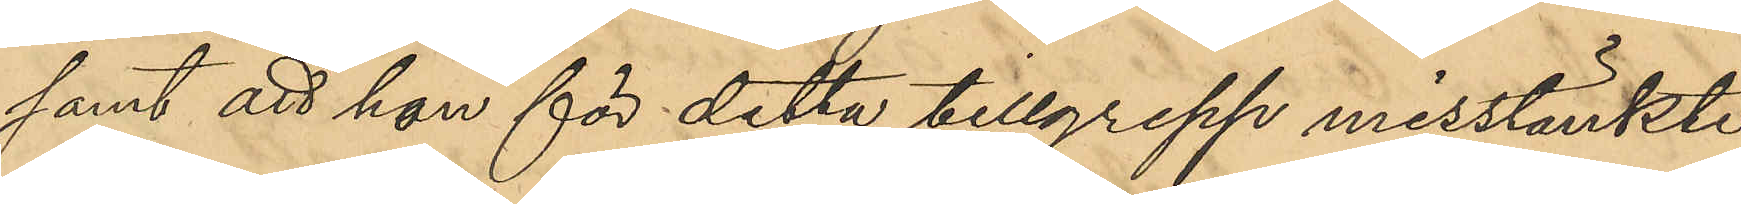samt att hon för detta tillgrepp misstänkte
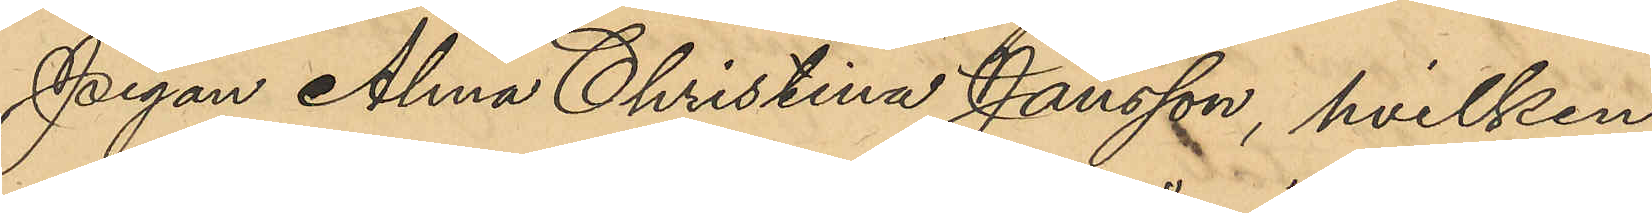pigan Alma Christina Jansson, hvilken
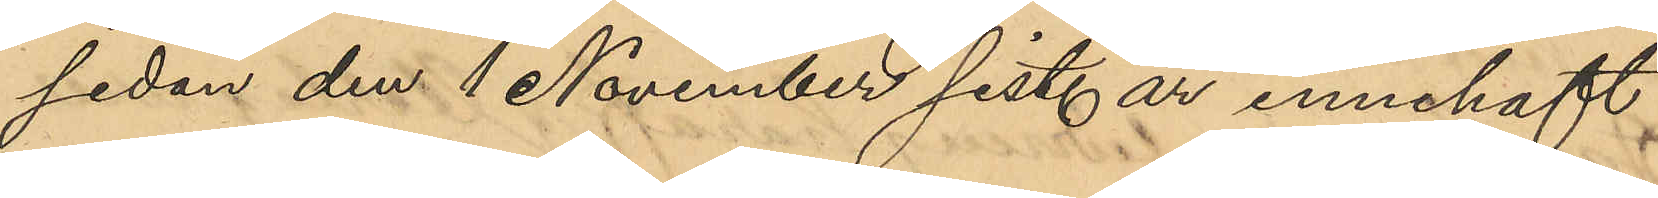sedan den 1 November sist. år innehaft
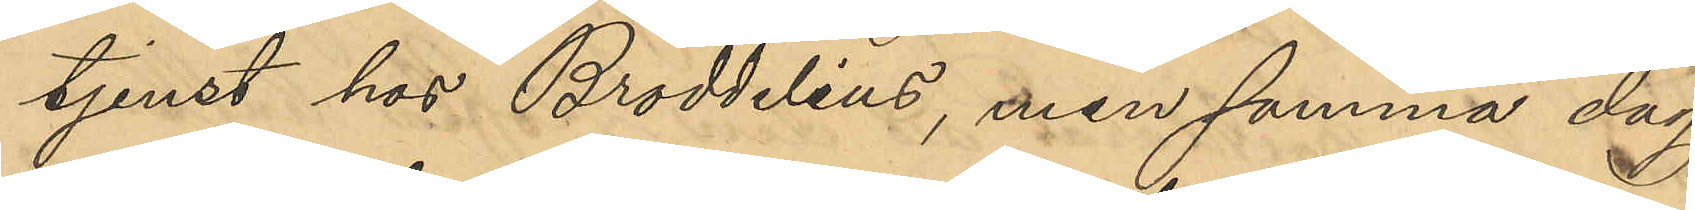tjenst hos Broddelius, men samma dag
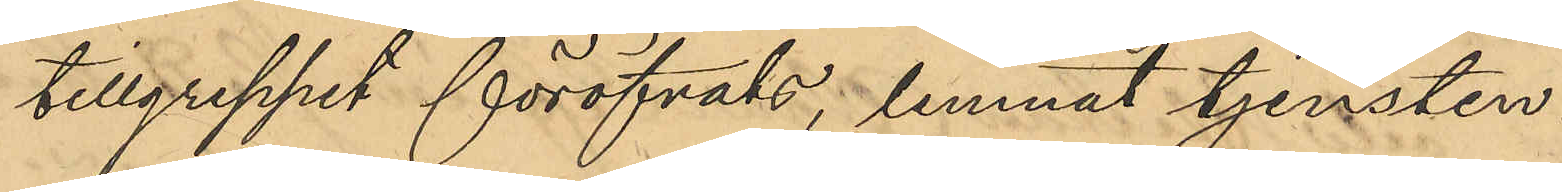tillgreppet föröfvats, lemnat tjensten.
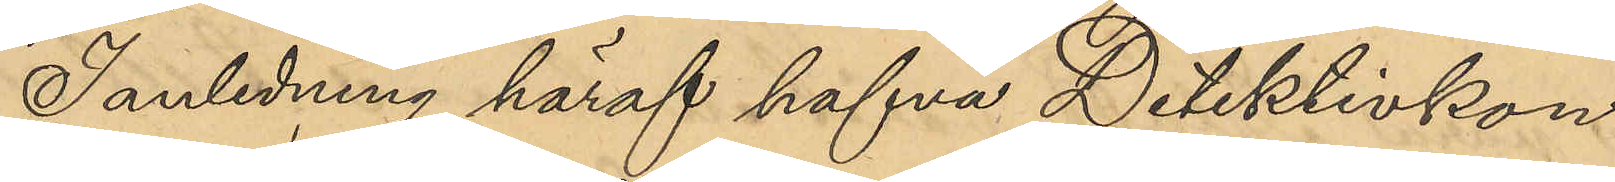I anledning häraf hafva Detektivkon¬
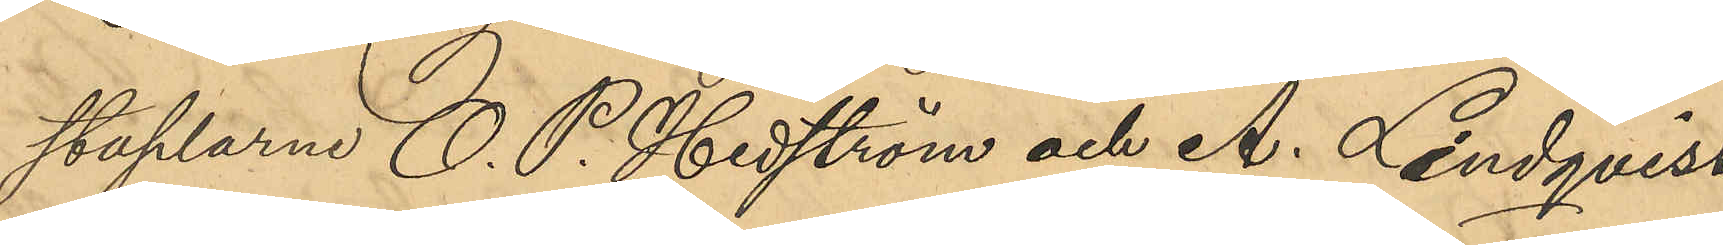staplarne O. P. Hedström och A. Lindqvist
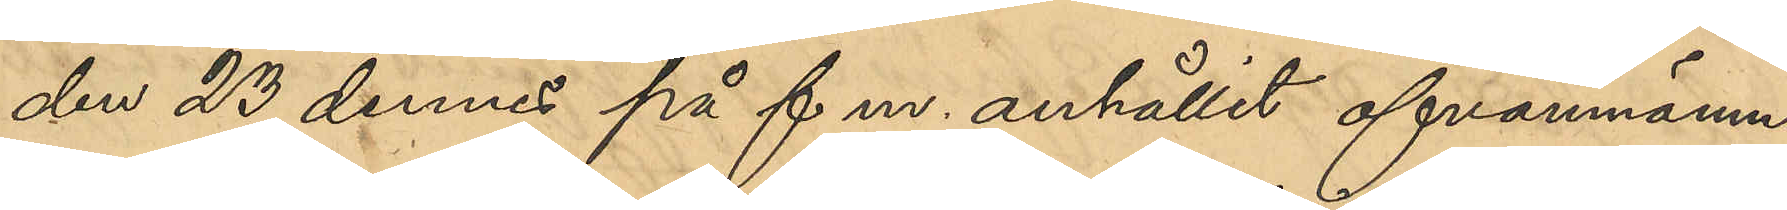den 23 dennes på f m. anhållit ofvannämn¬
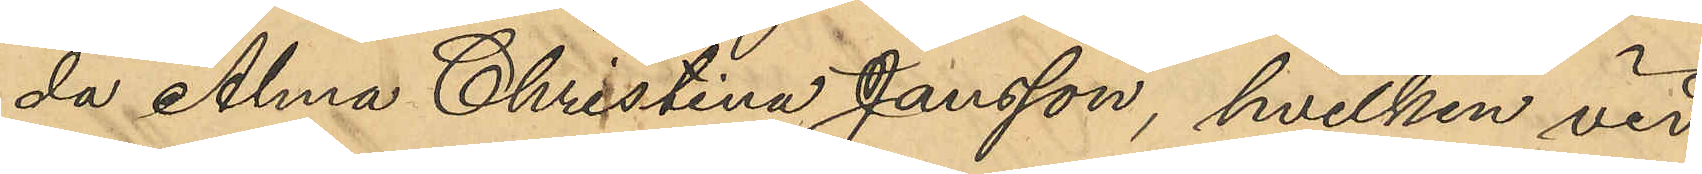da Alma Christina Jansson, hvilken vid
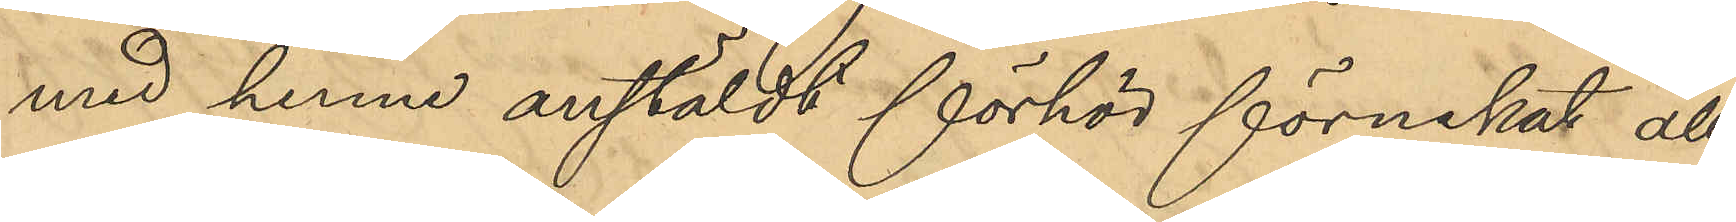med henne anstäldt förhör förnekat all
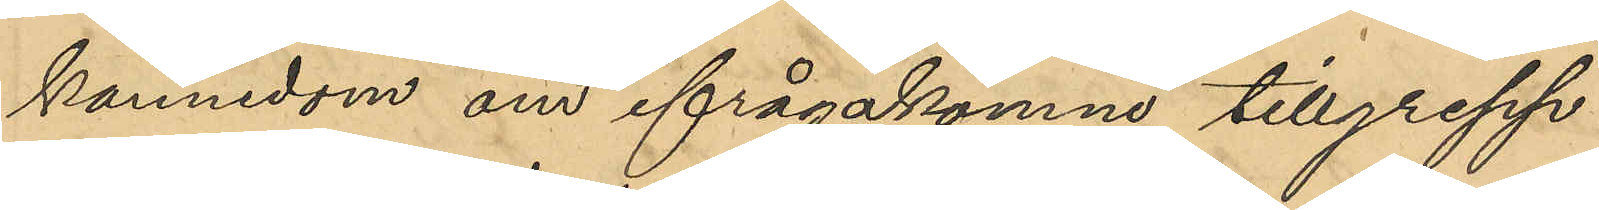kännedom om ifrågakomne tillgrepp.
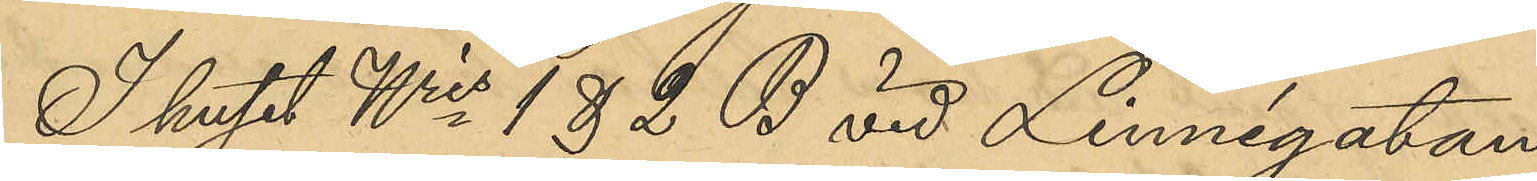I huset No 1 & 2 B vid Linnégatan
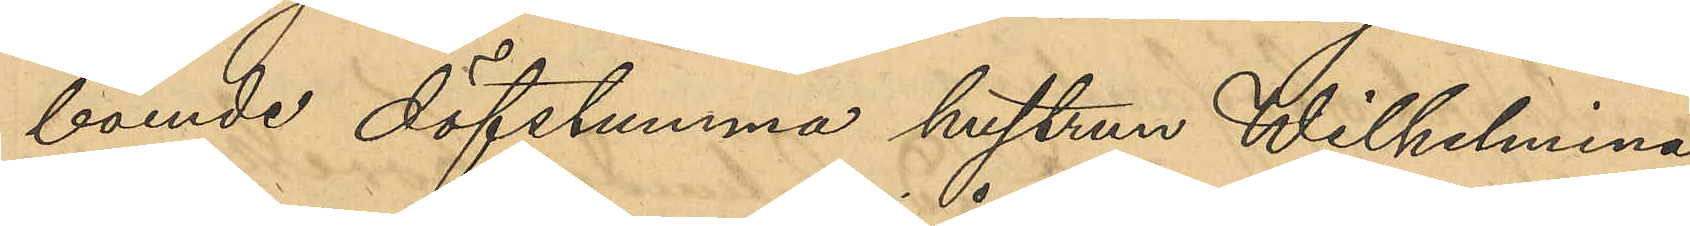boende döfstumma hustrun Wilhelmina
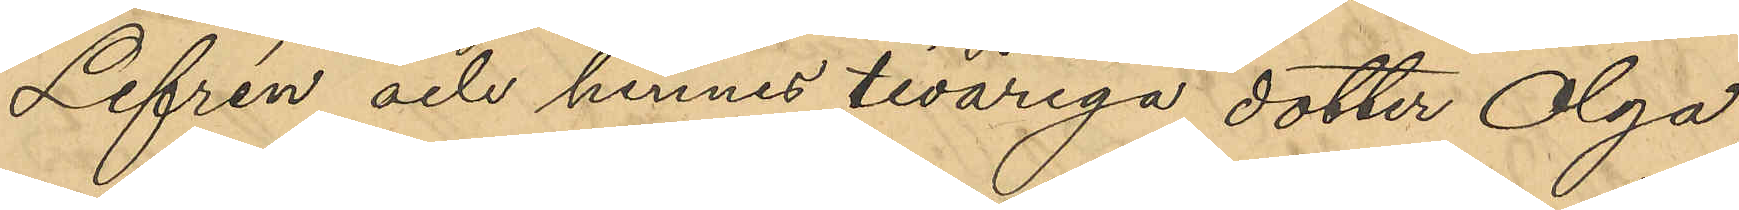Lefrén och hennes tioåriga dotter Olga,
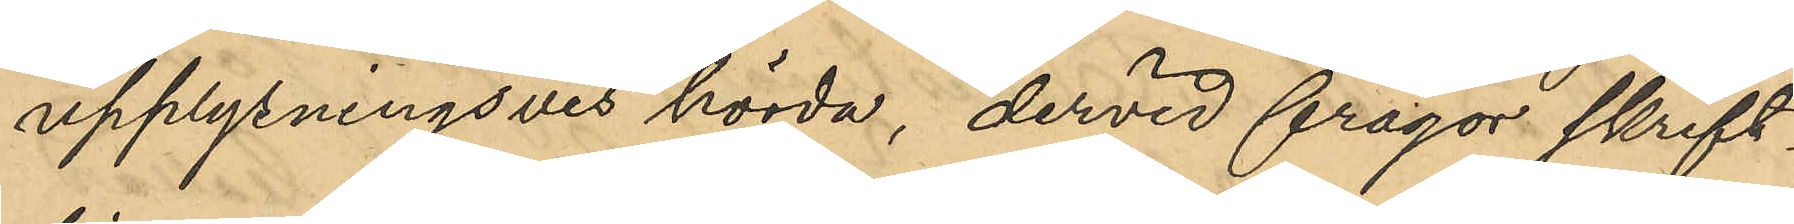upplysningsvis hörda, dervid frågor skrift¬
